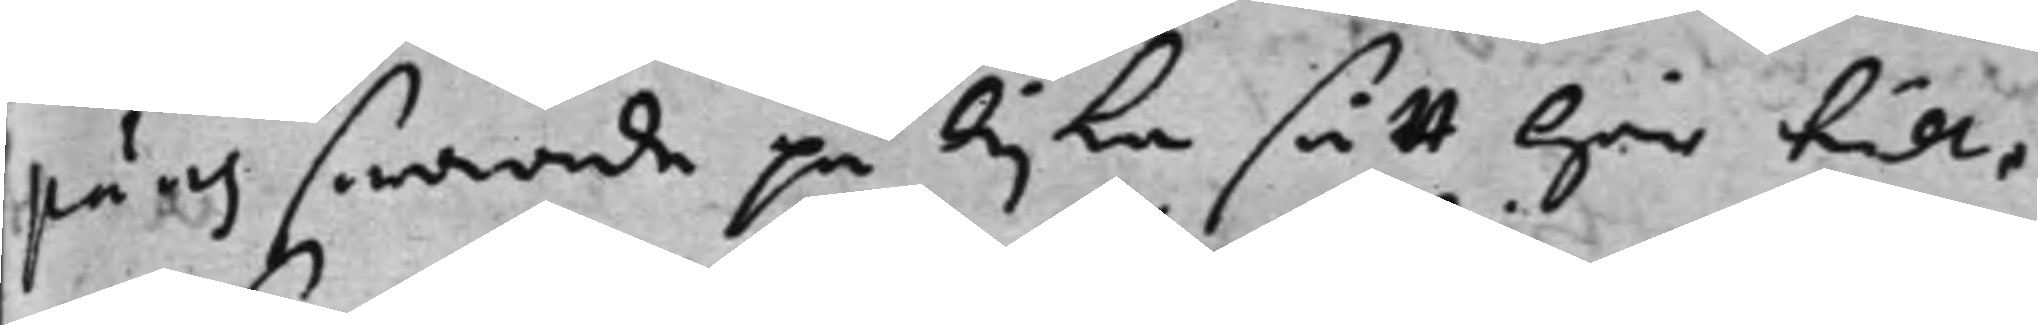päus swarade på lijka sätt här till,
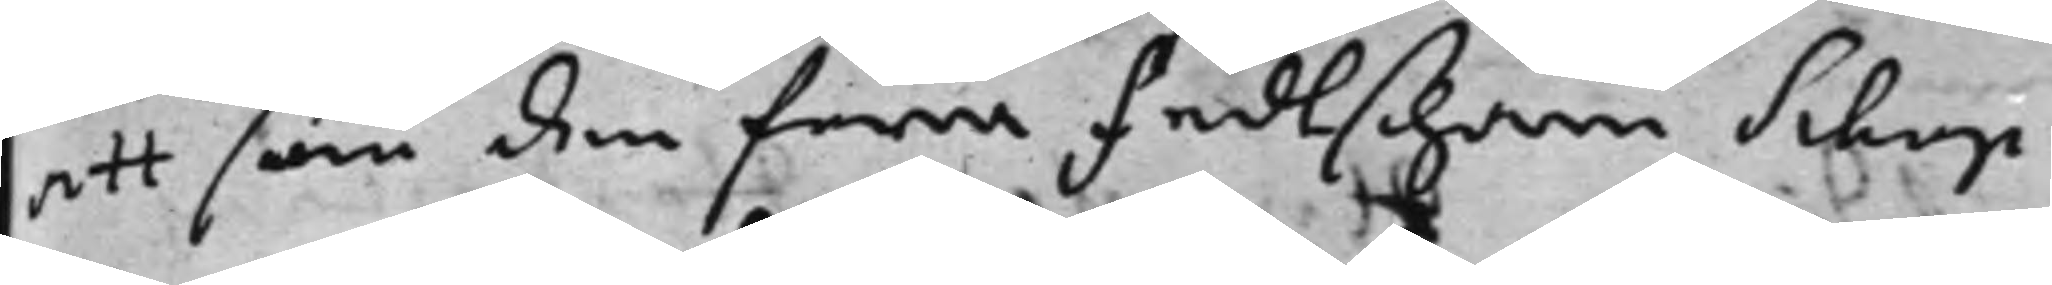att som den förra feldtschärn Schup
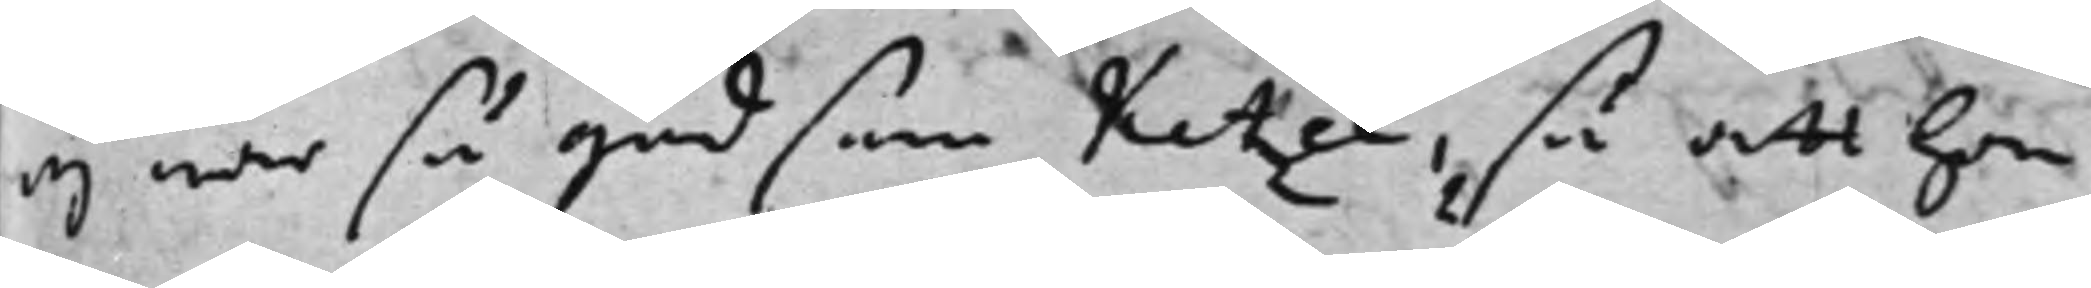ej war så god som Ketzel, så att han
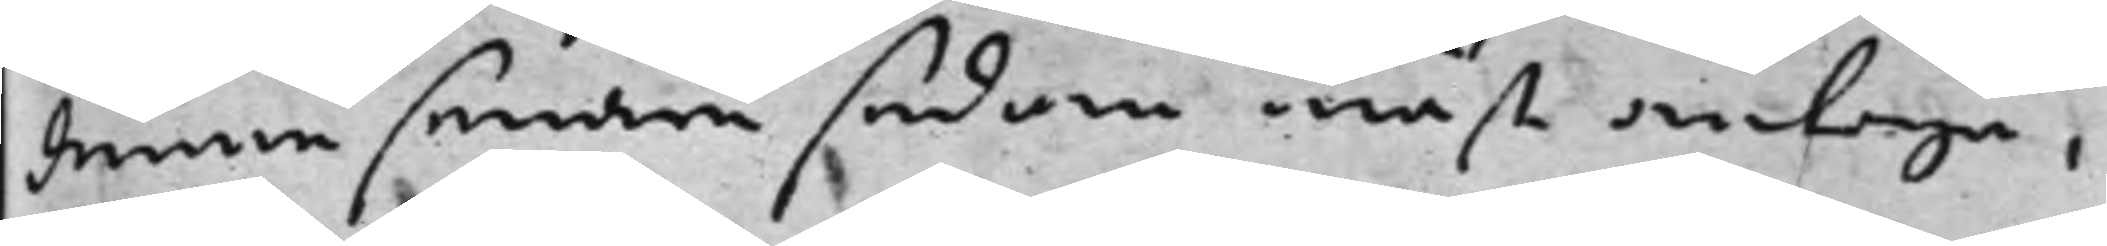denne senare sedan måst antaga,
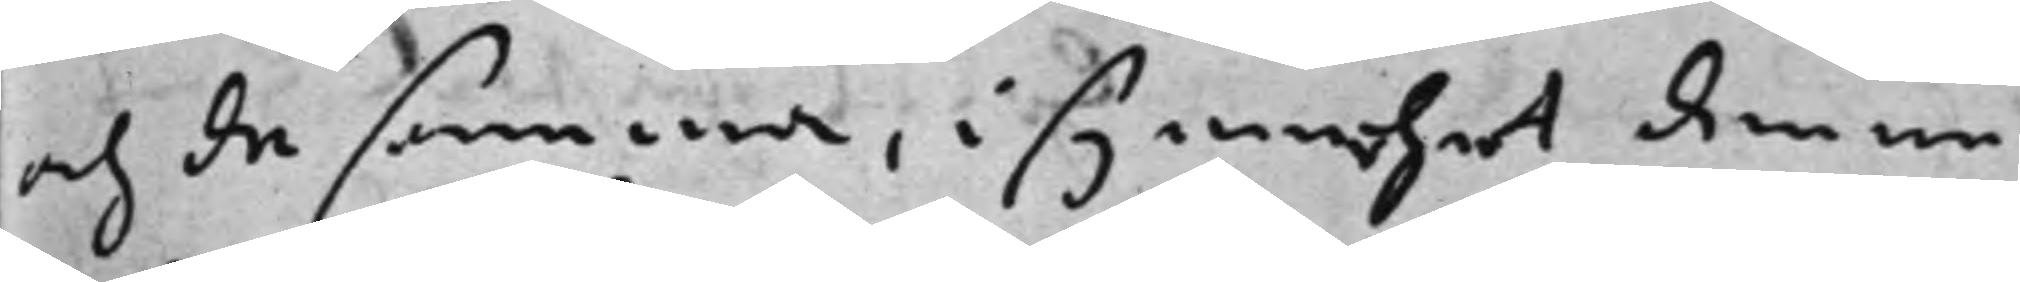och de samma, i synnhet denne
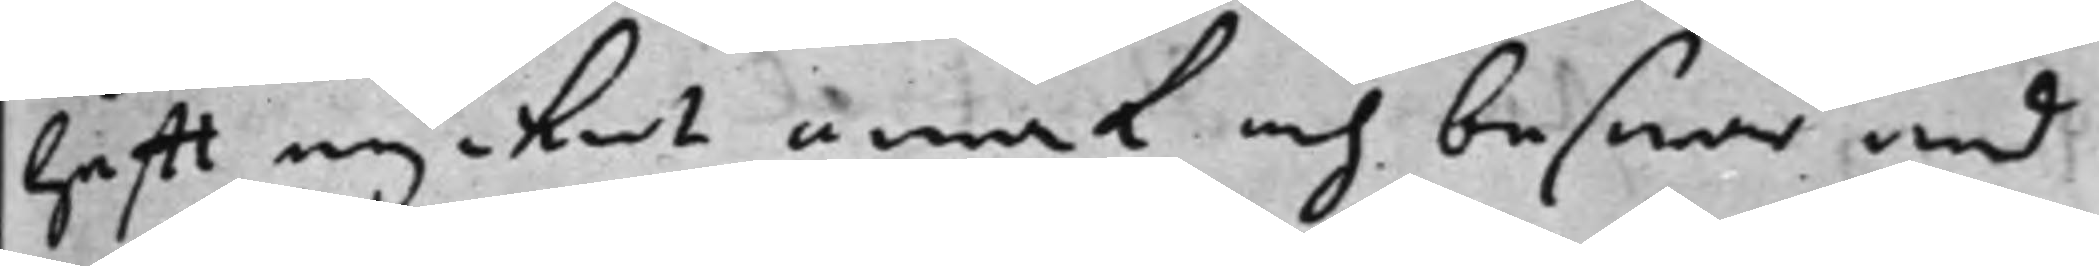hafft mycket annat och beswär med
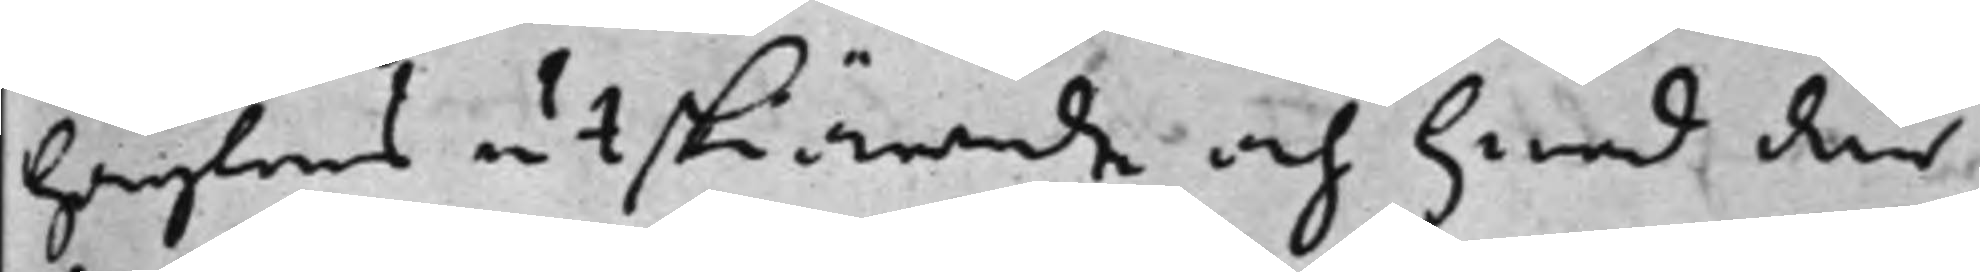haglens utskiärande och hwad där
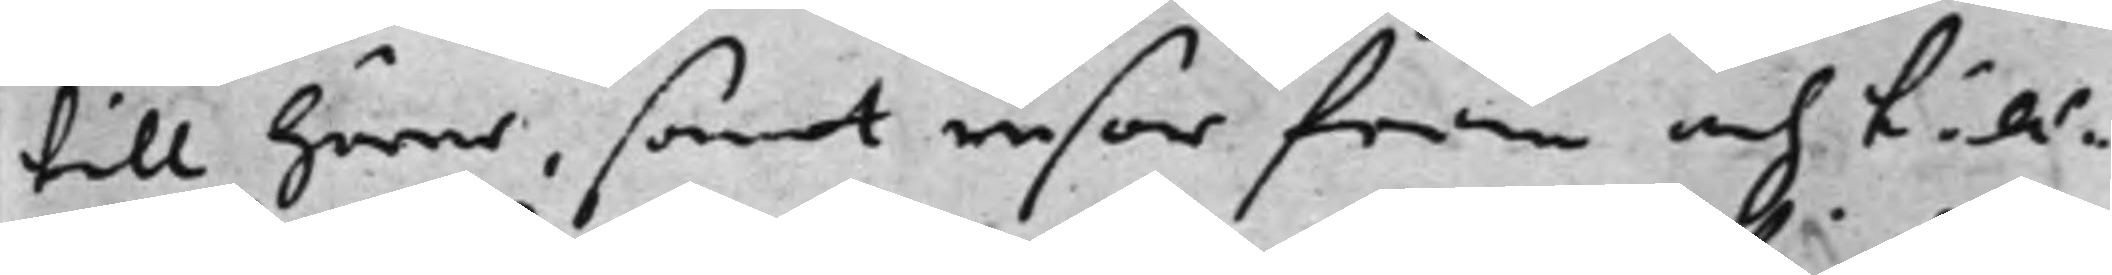till hörer, samt resor fram och till¬
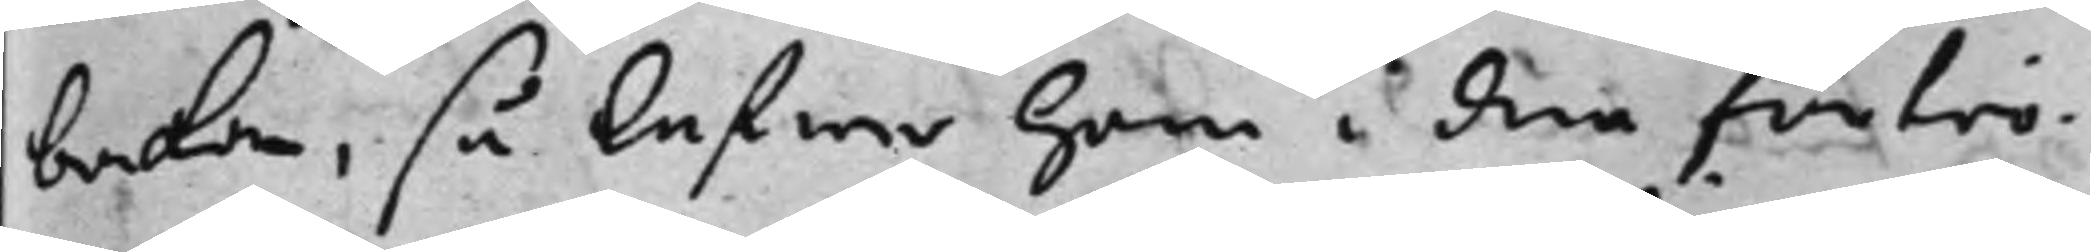baka, så lefwa han i den förtrö¬
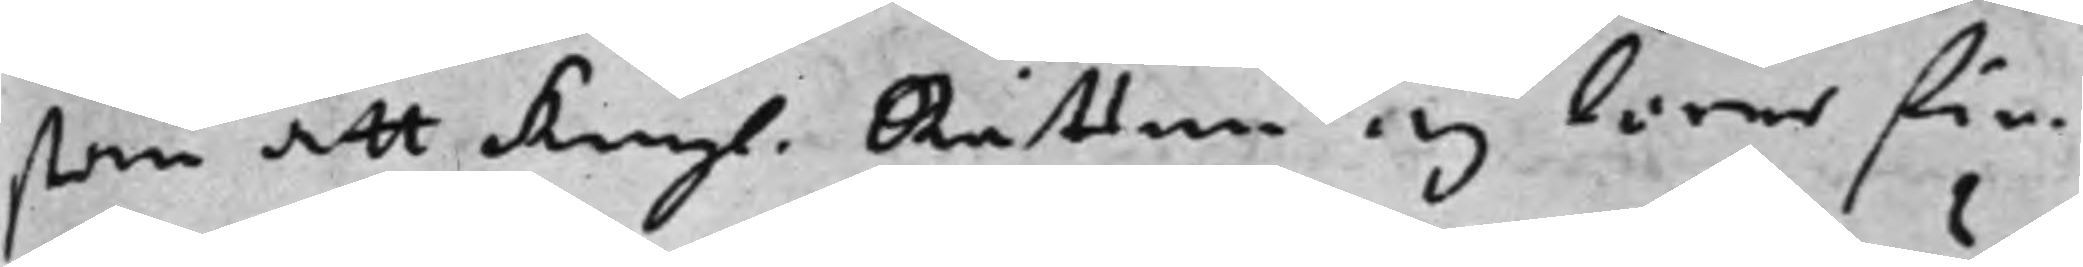stan att Kongl. Rätten ej lärer fin¬ 
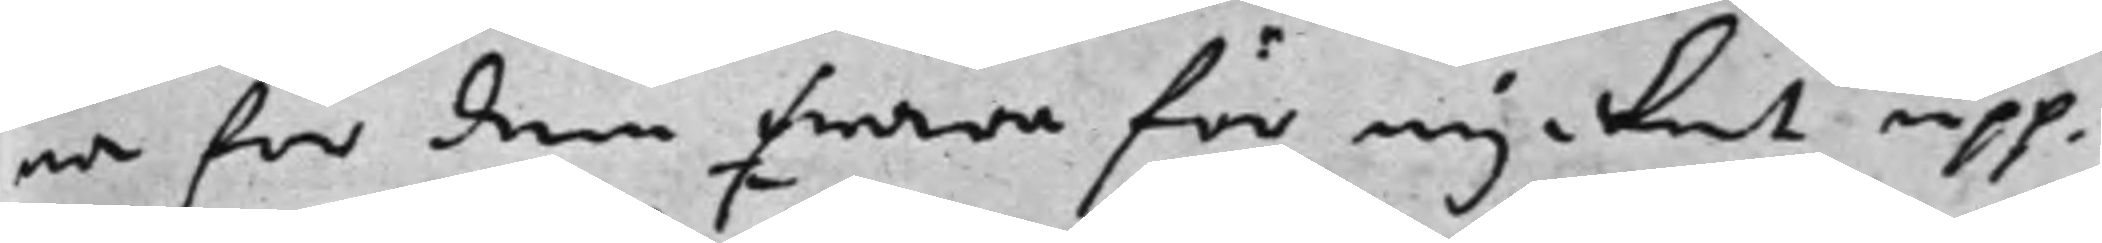na för dem fwara för mycket upp¬
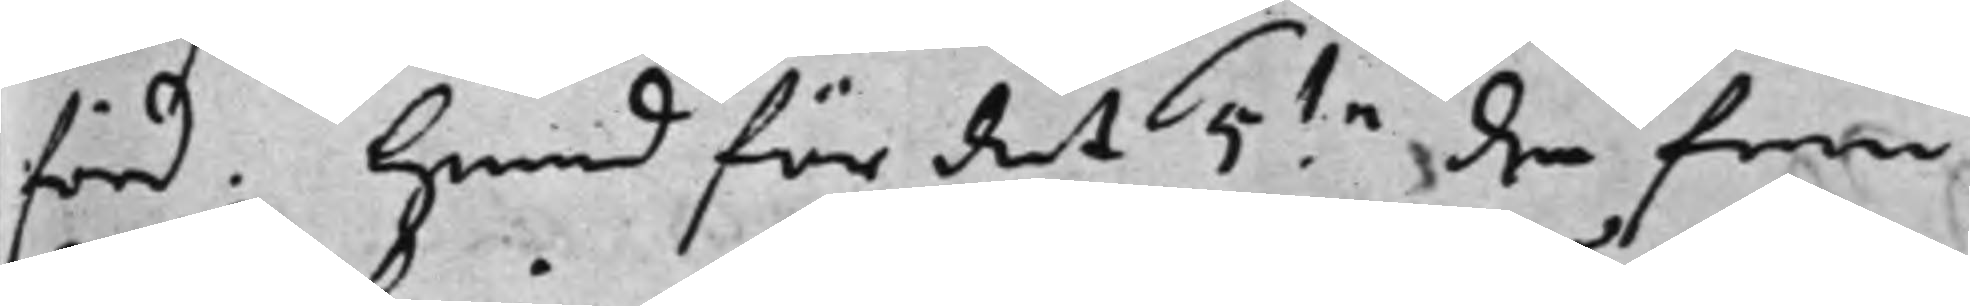förd. hwad för det 5.te de fem
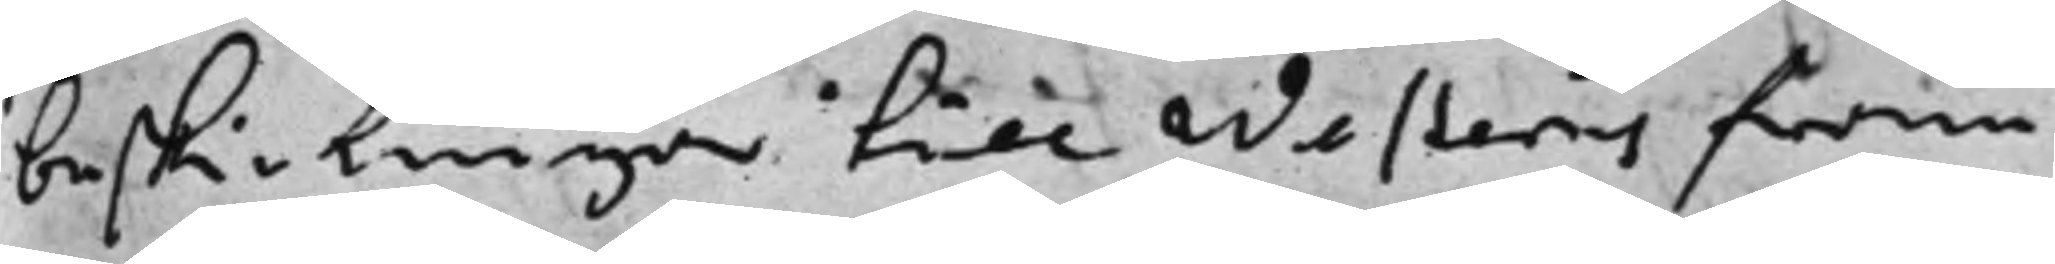beskickningar till Westerås fram
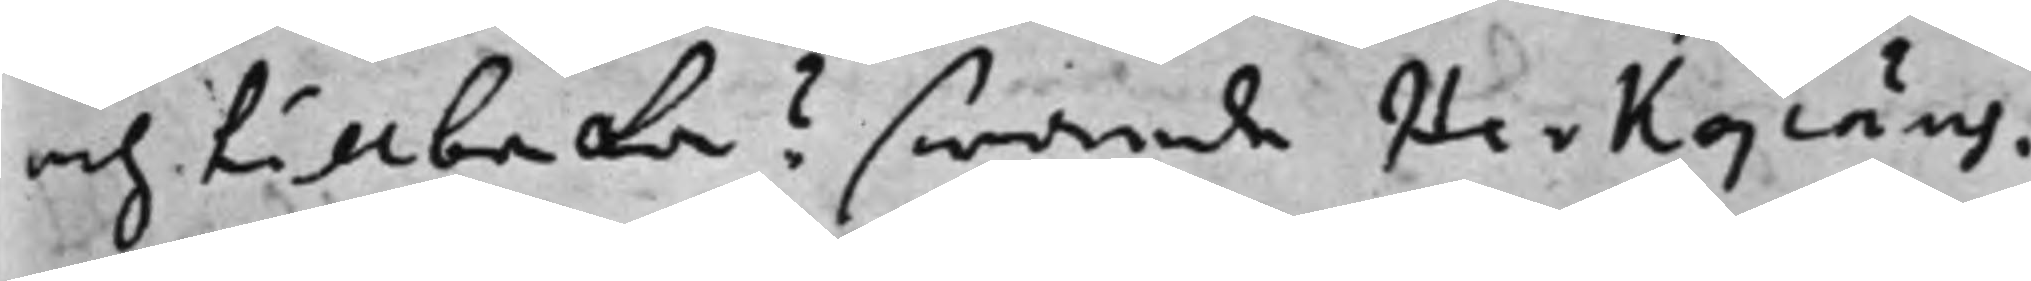och tillbaka? swarade Herkepäus,
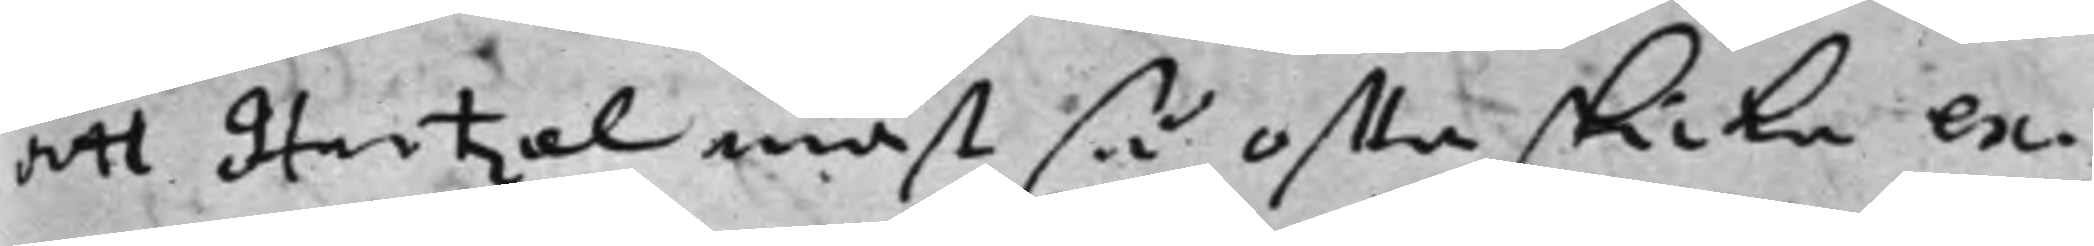att Hartzel måst så ofta skicka ex¬
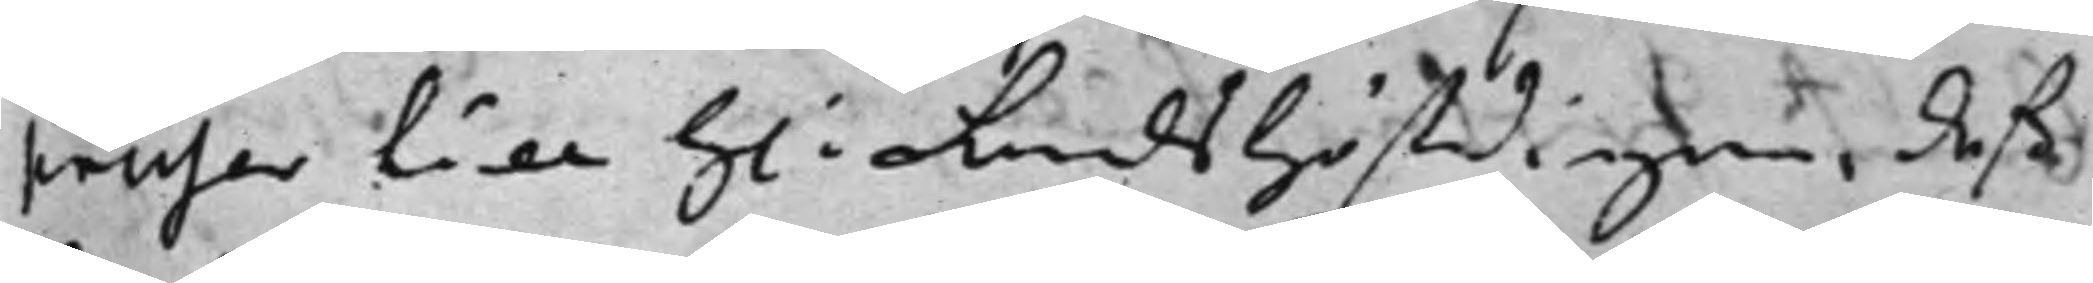penser till H: Landshöfdingen, deß 
